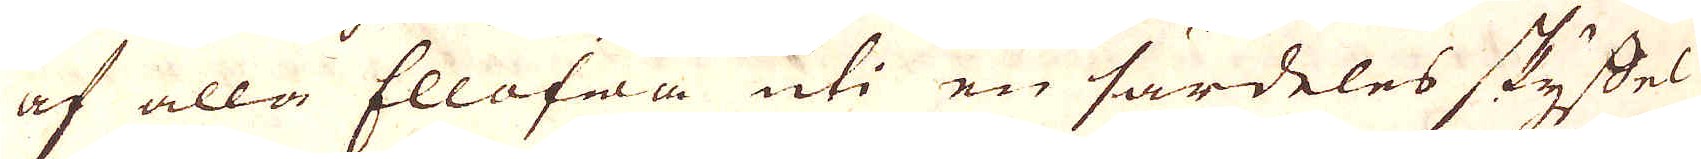af alla Ellofwa uti en särdeles skyffel
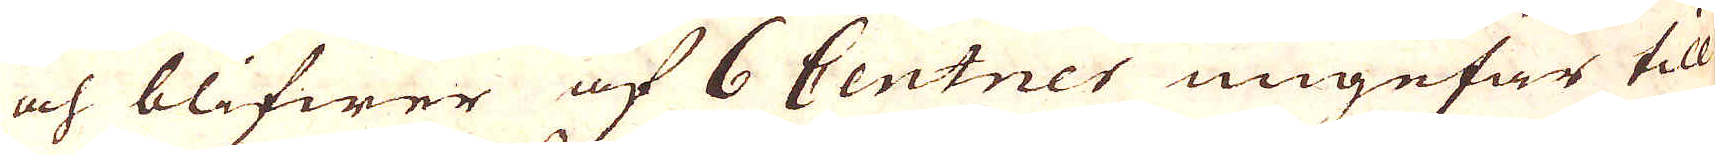och blifwer af 6 Centner ungefär till
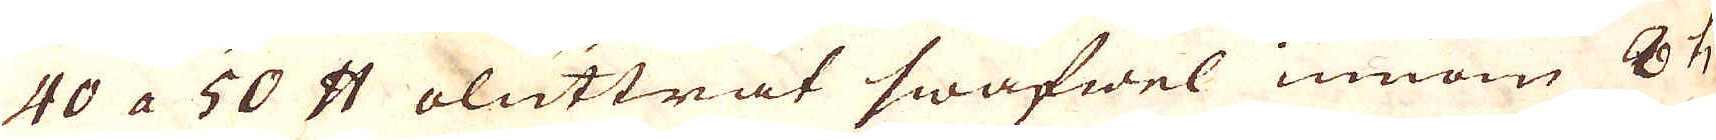40 a 50 skålpund oluttrat swafwel innom 8 ti-
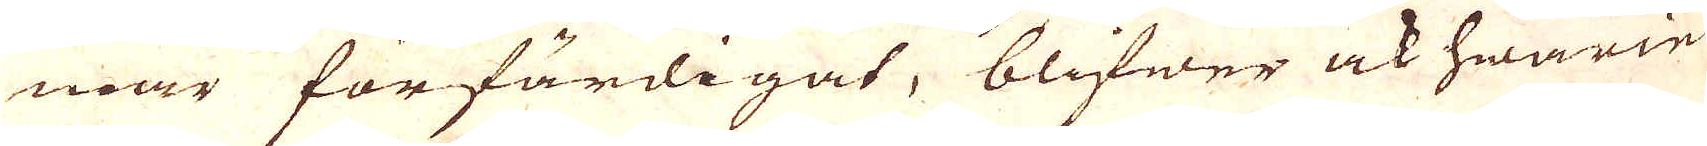mar förfärdigat, blifwer ock hwarie
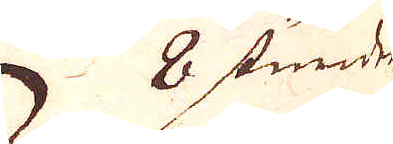8 stunder
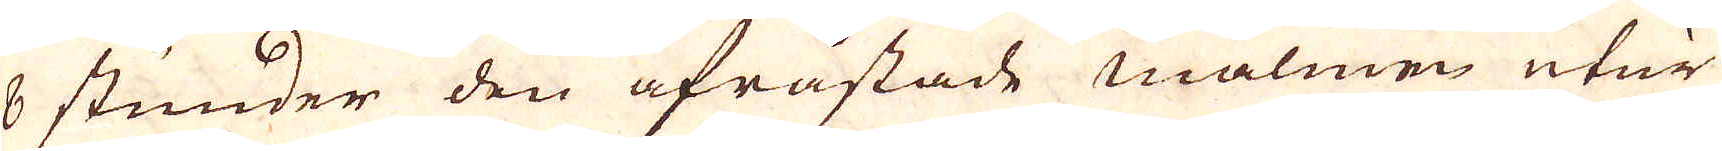8 stunder den afråstade malmen utur
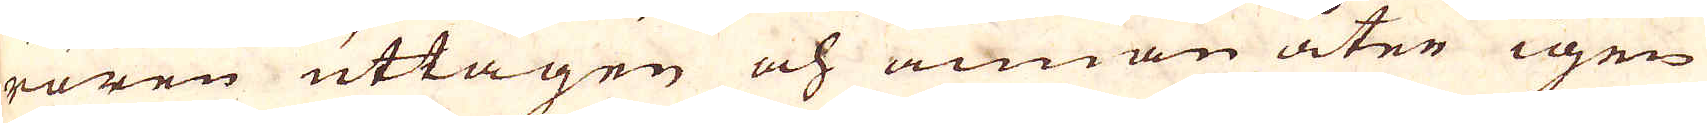rören uttagen och annan åter igen
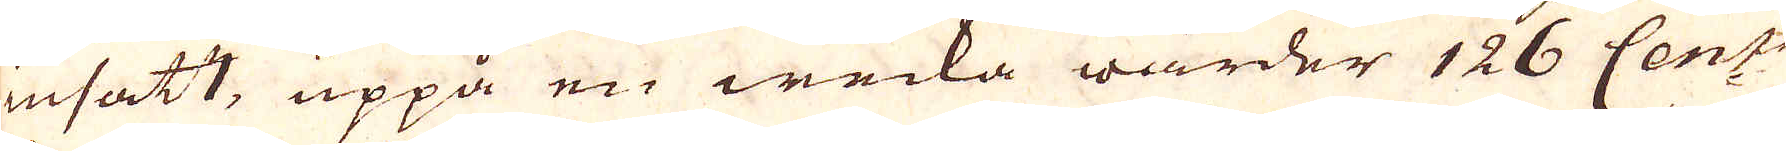insatt, uppå en wecka warder 126 Cent:r
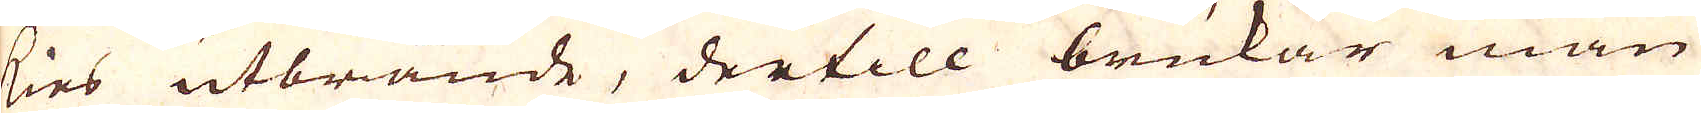kies utbrände, dertill brukar man
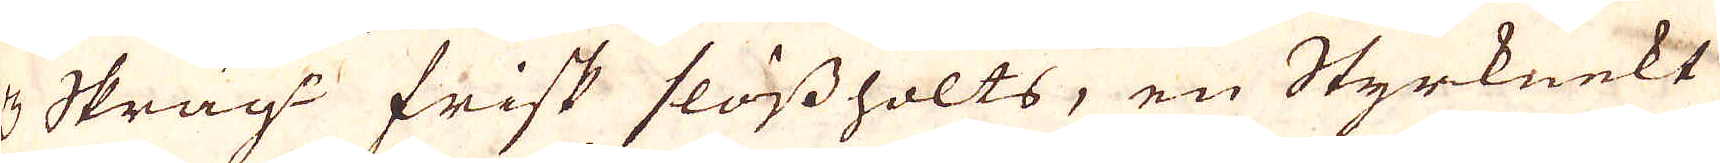3 Skräg:r frisk flössholts, en Styrknekt
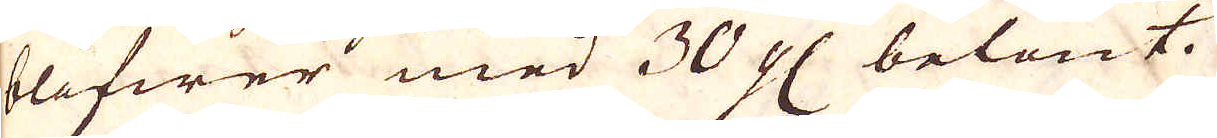blifwer med 30 gl belönt.
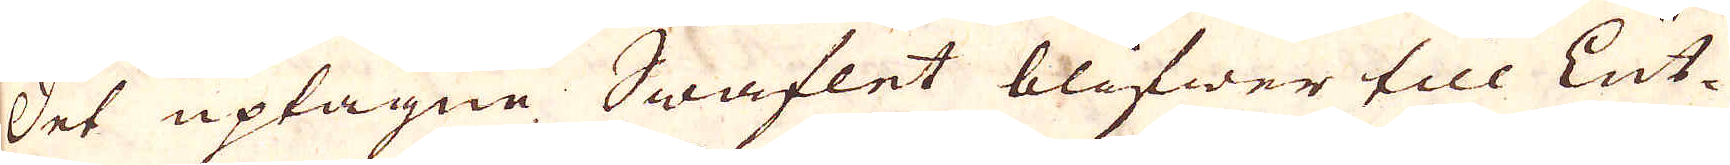Det uptagne Swaflet blifwer till Lut-
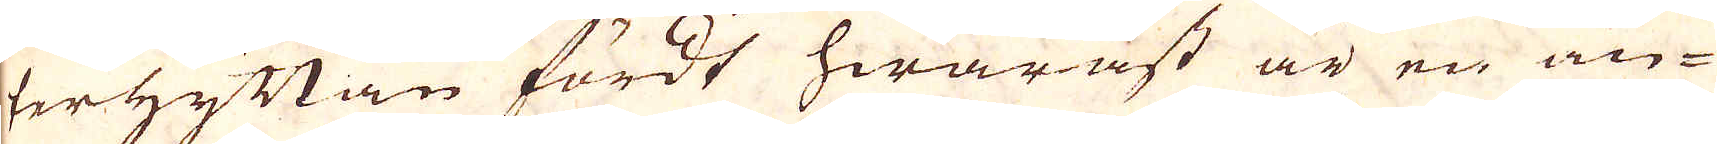terhyttan fördt hwaräst är en an-
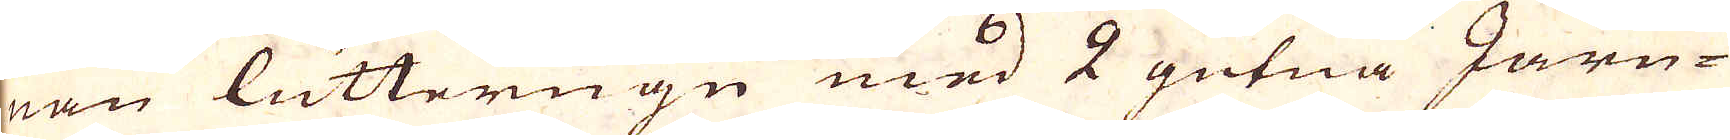nan lutterugn med 2 gutna Järn-
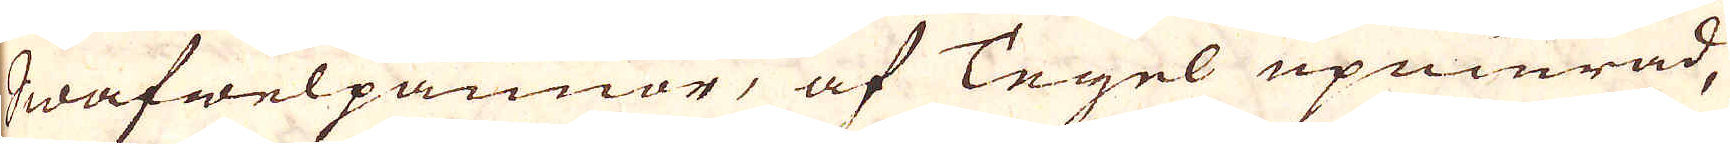Swafwelpannor, af Tegel upmurad,
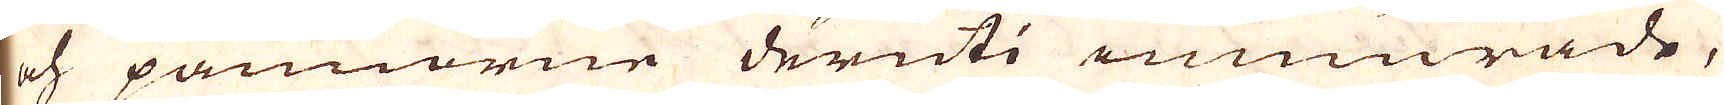och pannorne deruti imurade,
